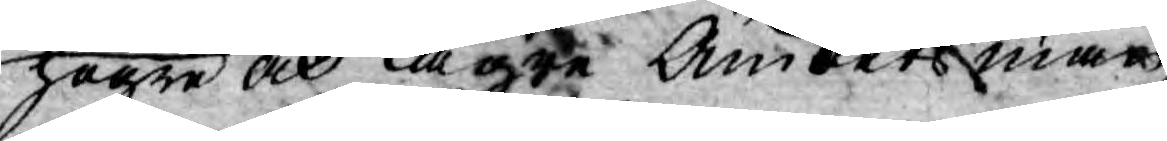högre och lägre Ämbetsmän
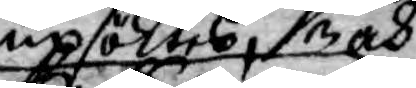upsöktes och
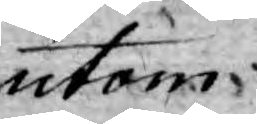utom
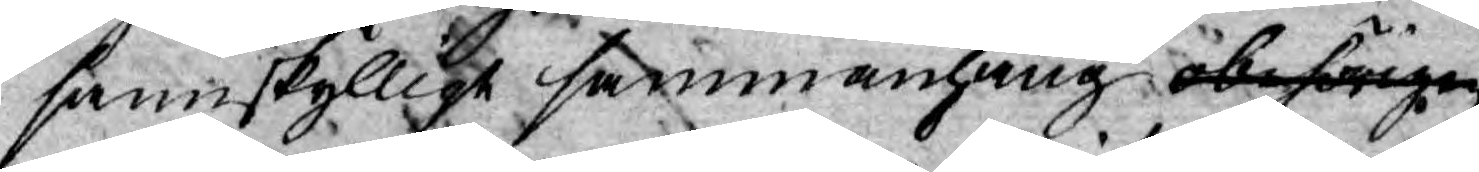sannskylligt sammanhang obehörige
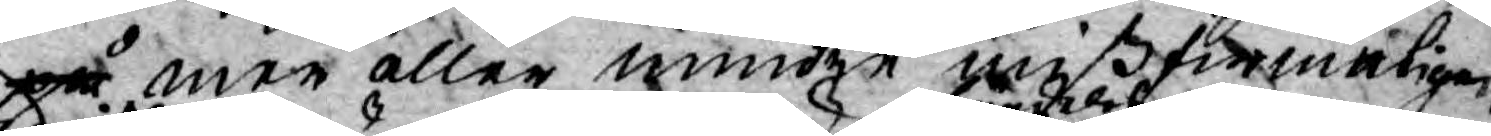på mer aller mindre mißfirmeligen
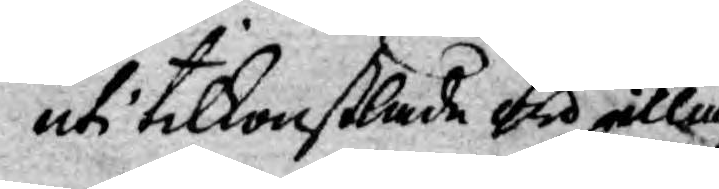uti tilkonstlade ord illa
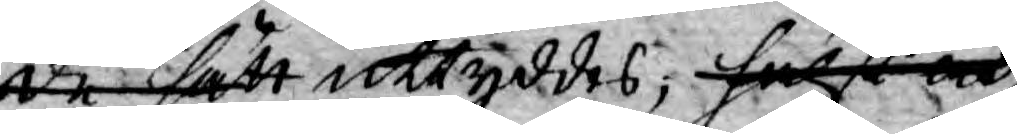de sätt uttyddes, hälst och
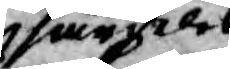särdeles
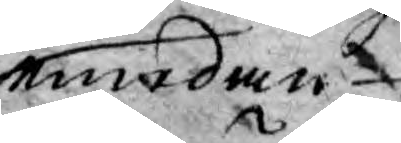emedan
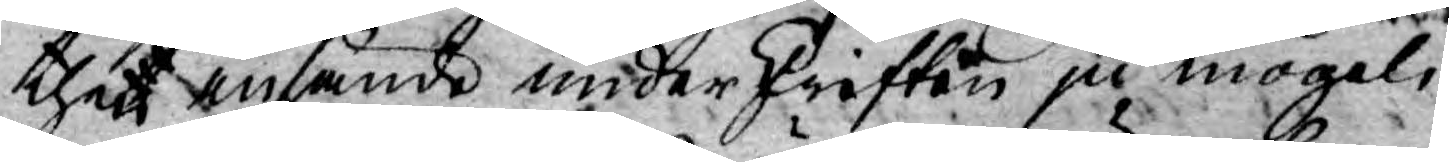thet insände underskriften ju mögeli¬
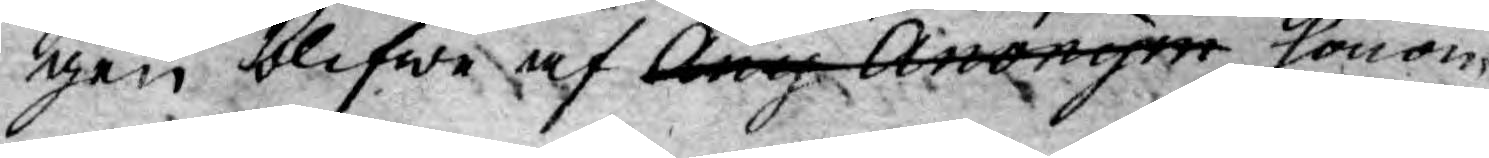gen blifwe af Any Anonym honom
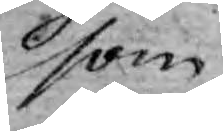som
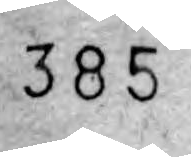385
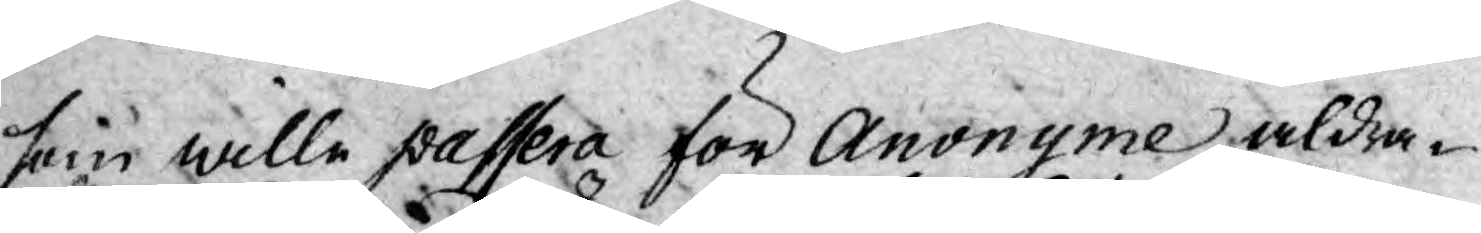som wille passera för Anonyme aldra¬
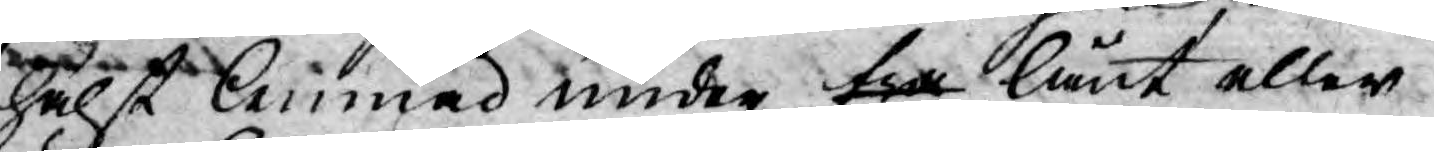hälst lemnad under fra lånt eller
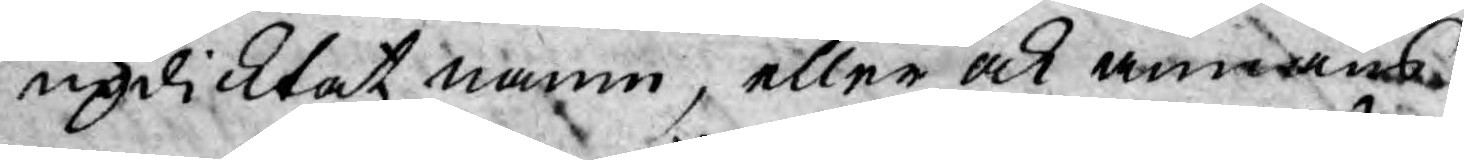updicktat namn, eller ock annans
